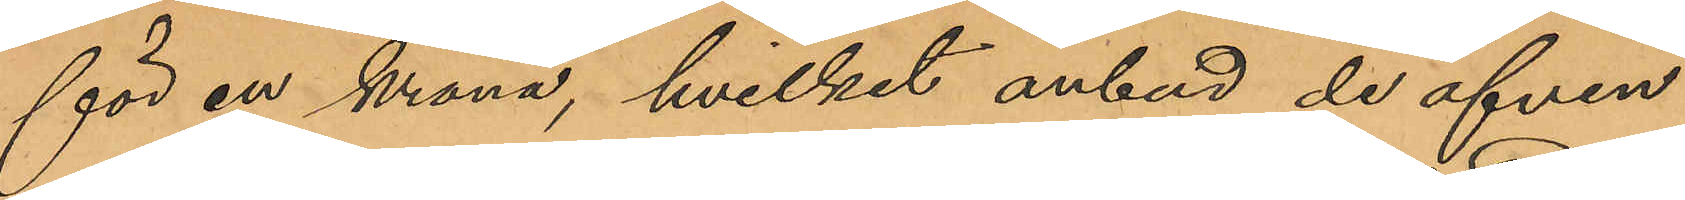för en krona, hvilket anbud de äfven
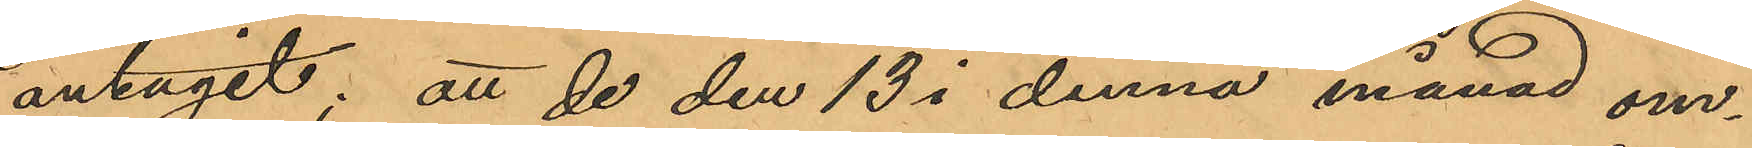antagit: att de den 13 i denna månad om¬
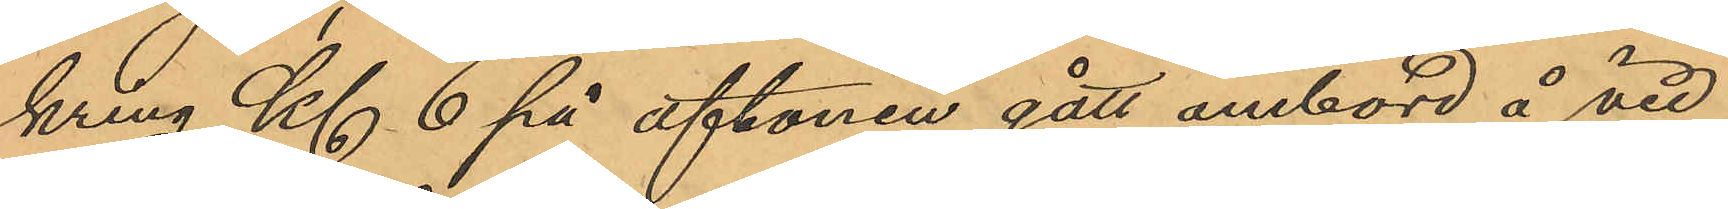kring Kl 6 på aftonen gått ombord å vid
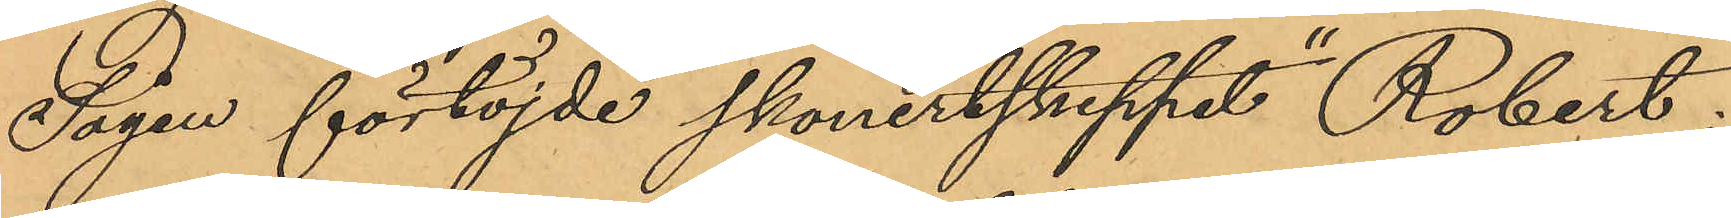Sågen förtöjde skonertskeppet "Robert";
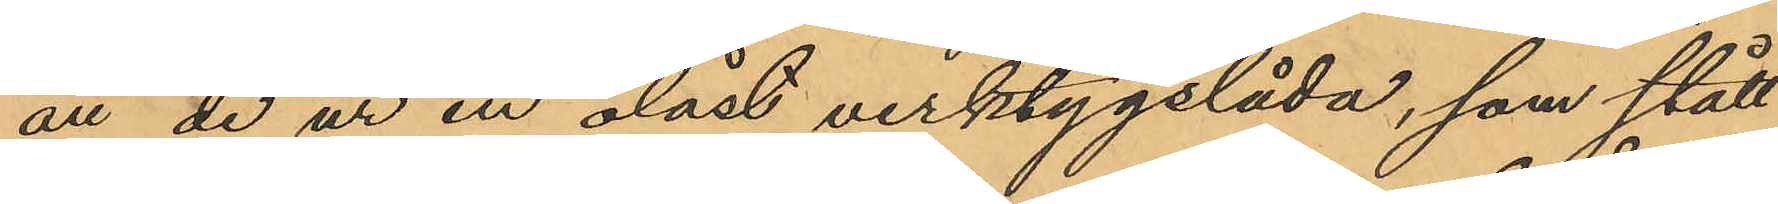att de ur en olåst verktygslåda, som stått
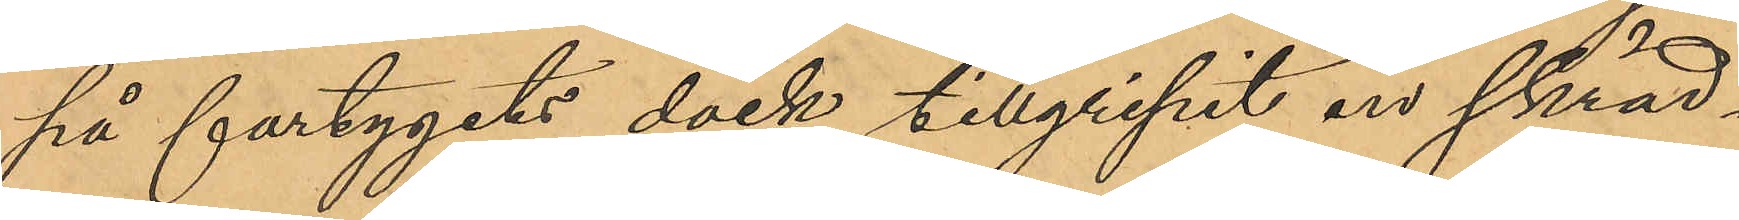på fartygets däck tillgripit en skräd¬
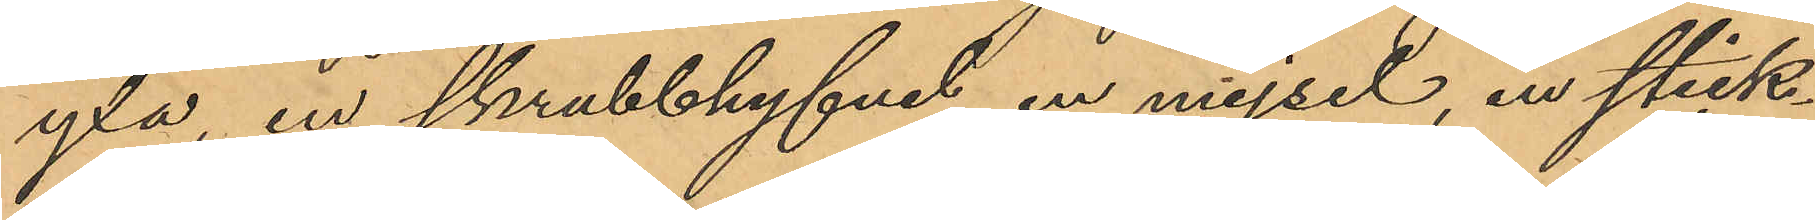yxa, en skrubbhyvel, en mejsel, en stick¬
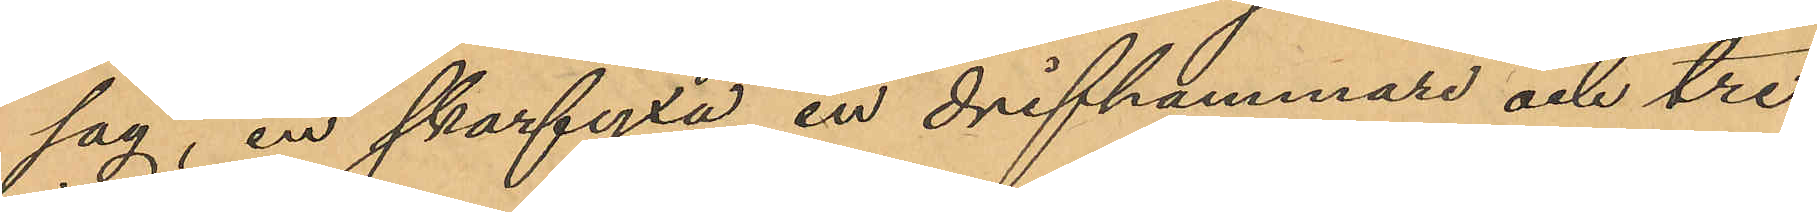såg, en skarfyxa, en drifhammare och tre
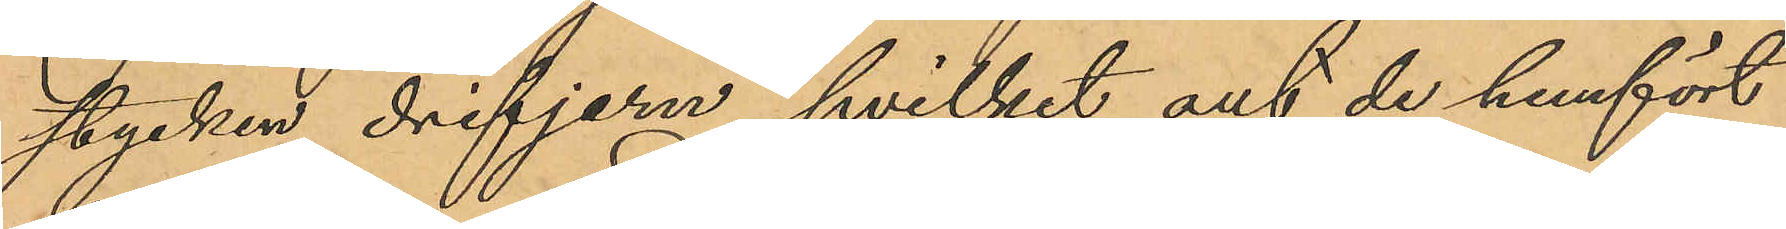stycken drifjern, hvilket alt de hemfört
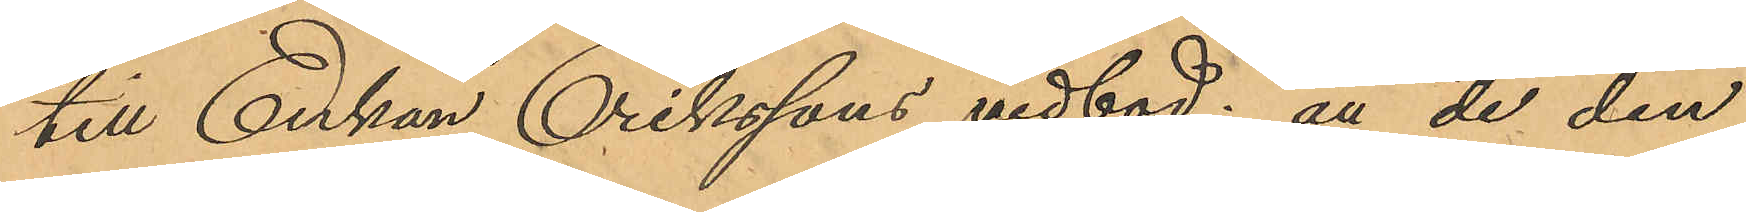till Enkan Erikssons vedbod; att de den
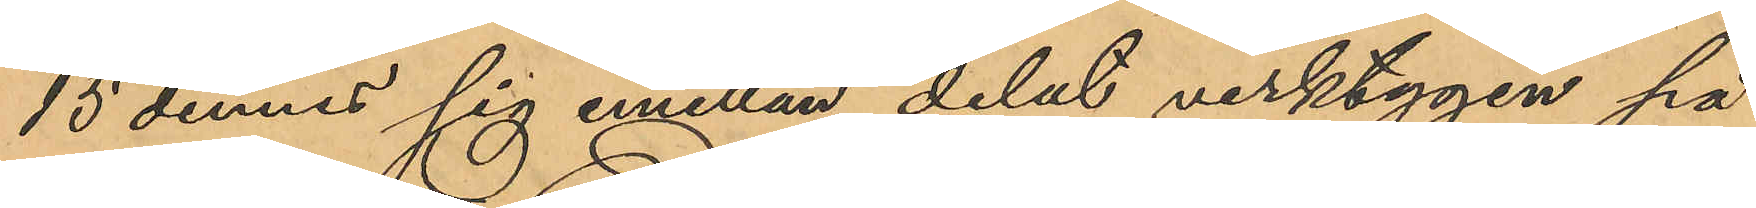15 dennes sig emellan delat verktygen på
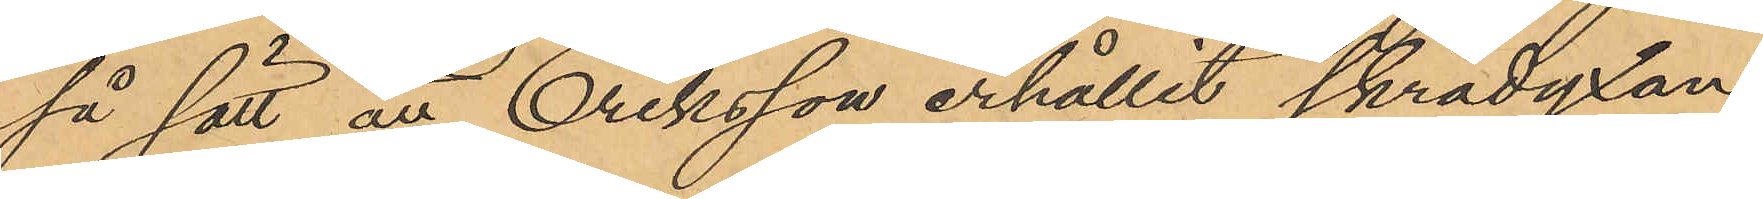så sätt att Eriksson erhållit skrädyxan,
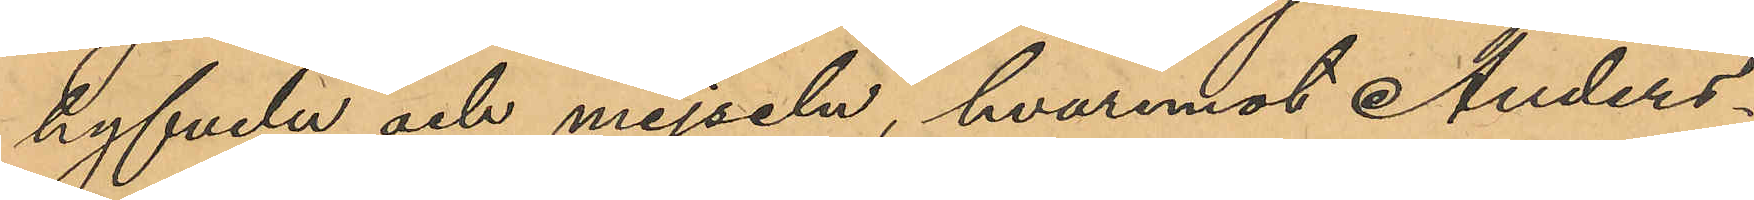hyfveln och mejseln, hvaremot Anders¬
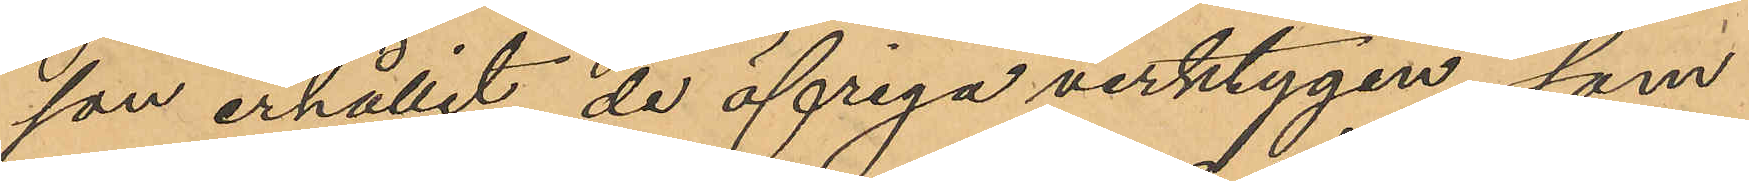son erhållit de öfriga verktygen, som
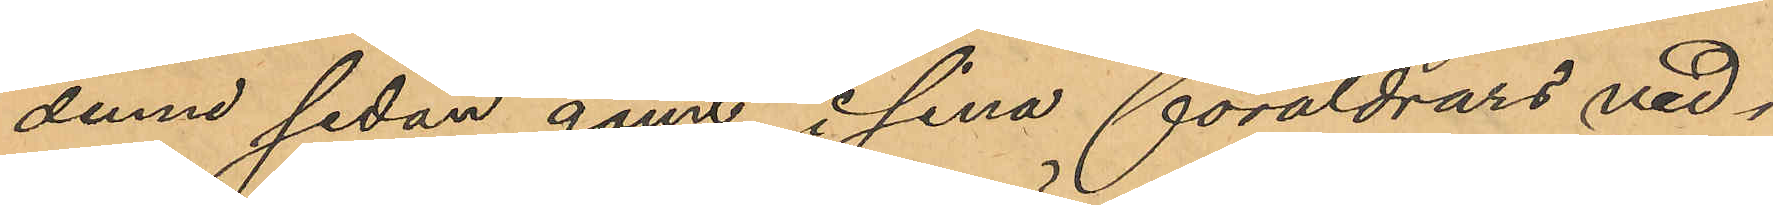denne sedan gömt i sina föräldrars ved¬
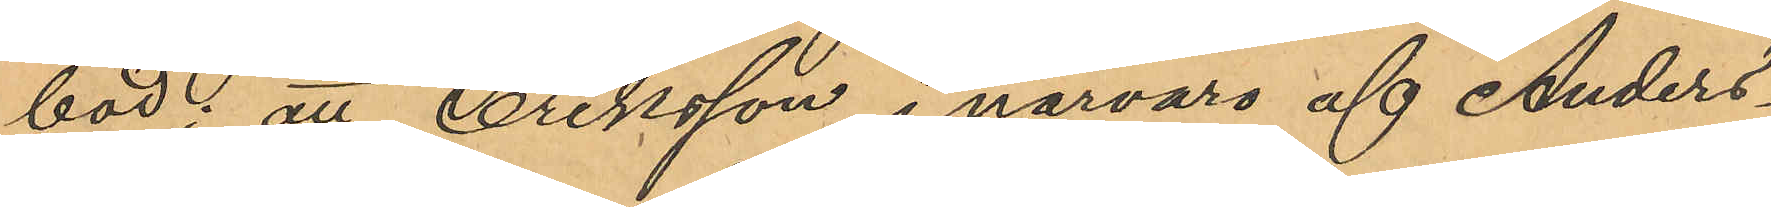bod; att Eriksson, i närvaro af Anders¬
